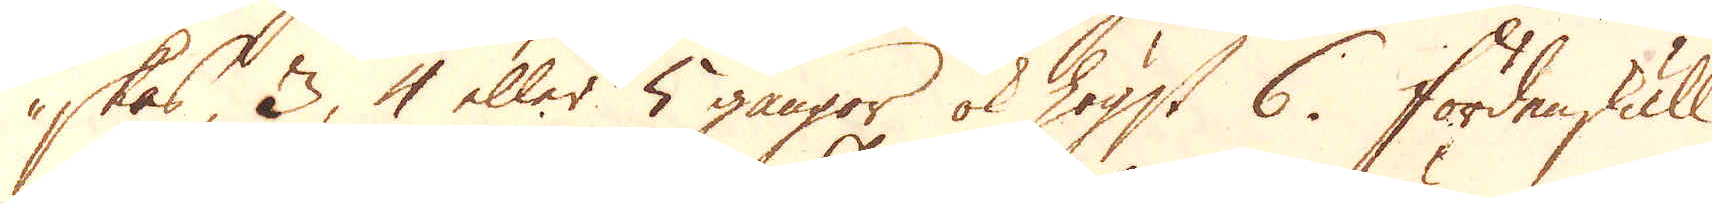skas, 3, 4 eller 5 gångor ok högst 6. Fördenskull
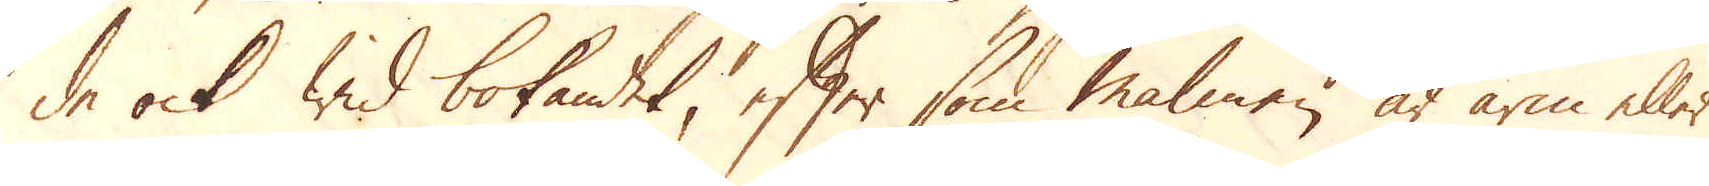de ock wid bokandet, efter som malmen är arm eller
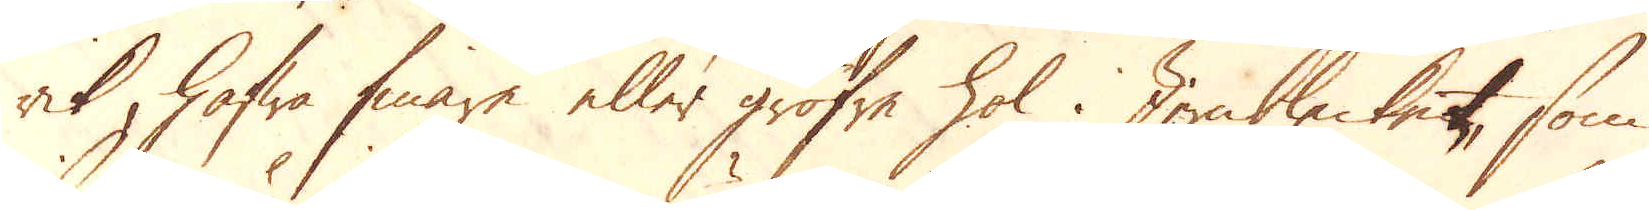rik, hafwa finare eller gröfre hol. Jernblecket, som
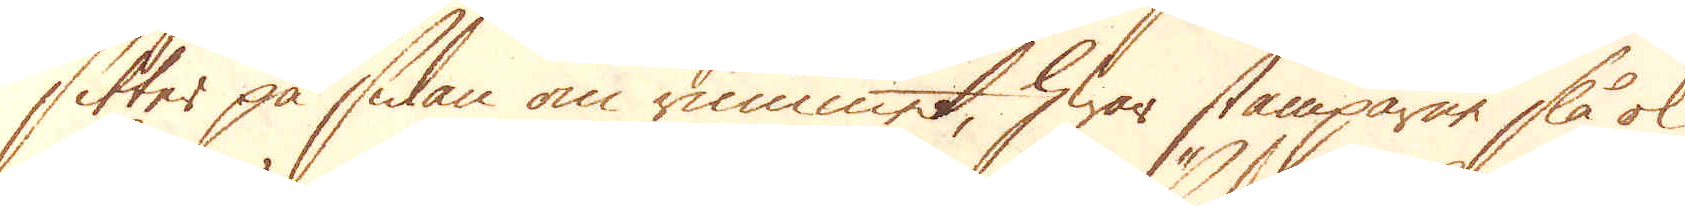sitter på sidan om rummet, hwar stämparne slå ok
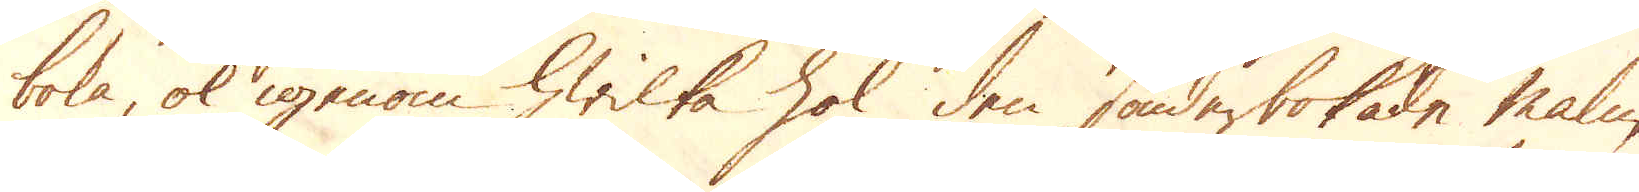boka, ok igenom hwilka hol den sönderbokade malm,
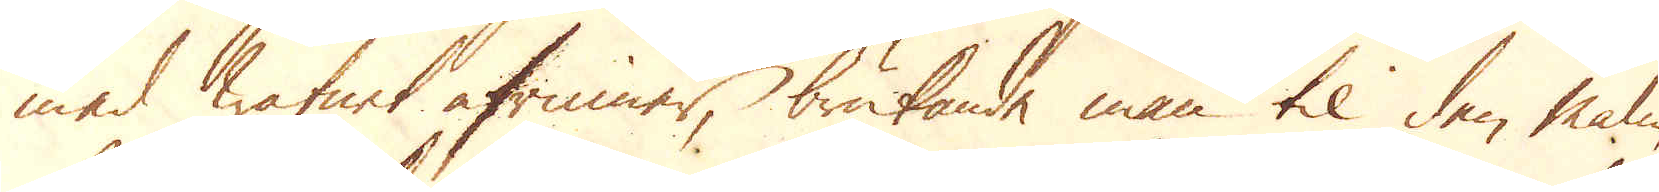med watnet afrinner, brukande man til den malm,
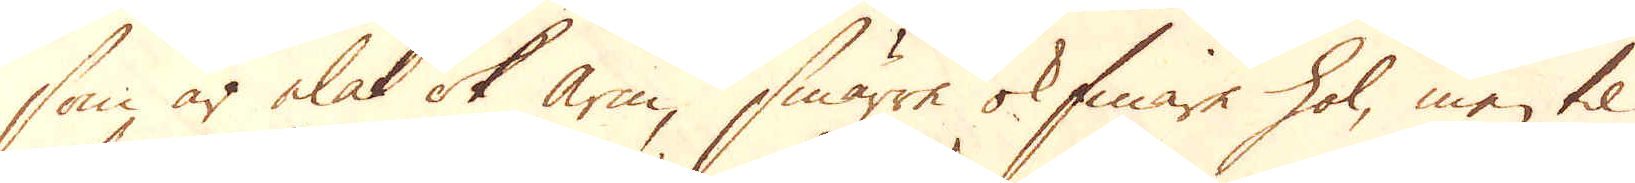som är elak ok arn, smärre ok finare hol, men til
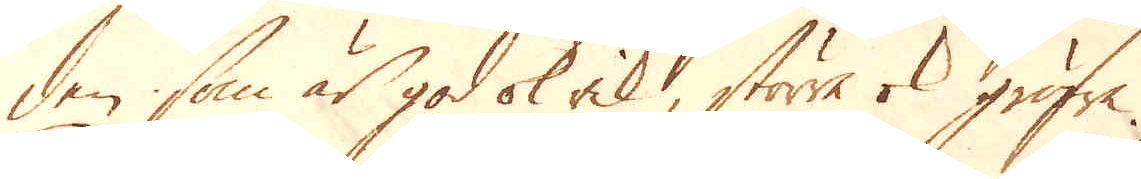den som är god ok rik, större ok gröfre.
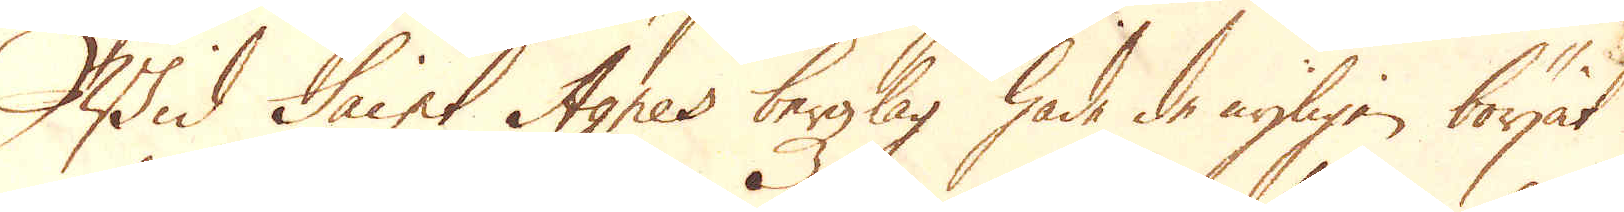Wid Saint Agnes bergzlag hade de nyligen börjat
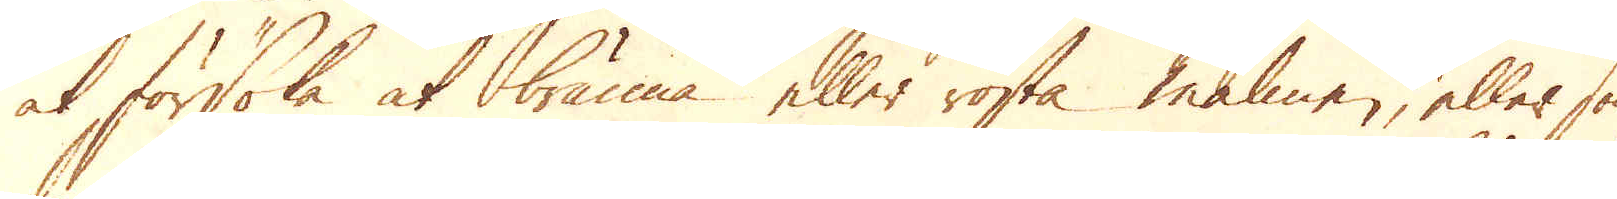at försöka at bränna eller rosta malmen, eller som
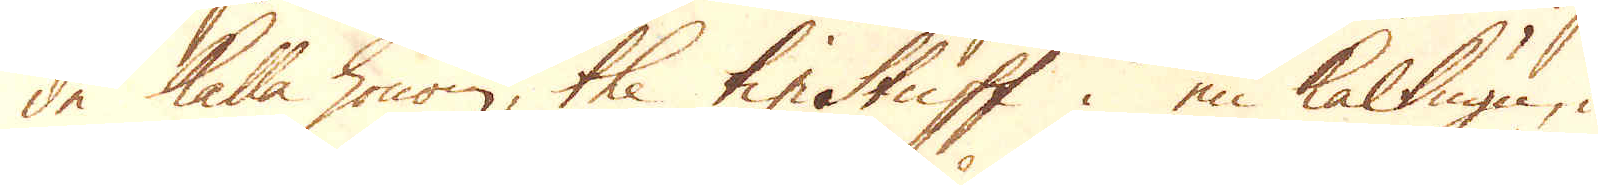de kalla honom, the tin Stuff i en kalkugn, i
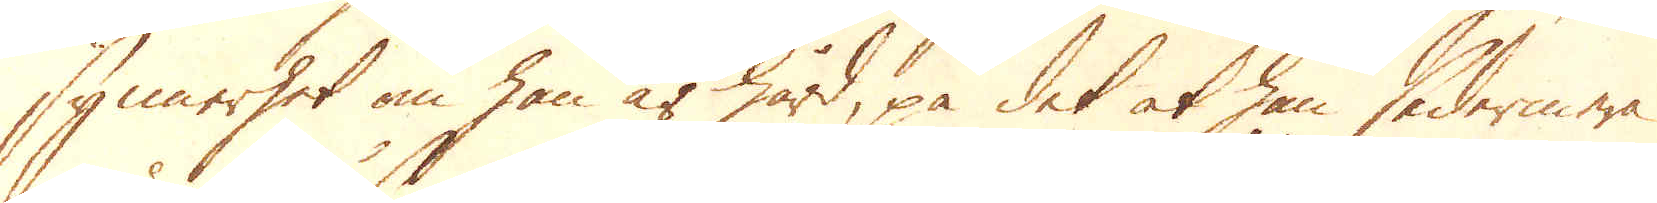synnerhet om han är hård, på det at han sedermera
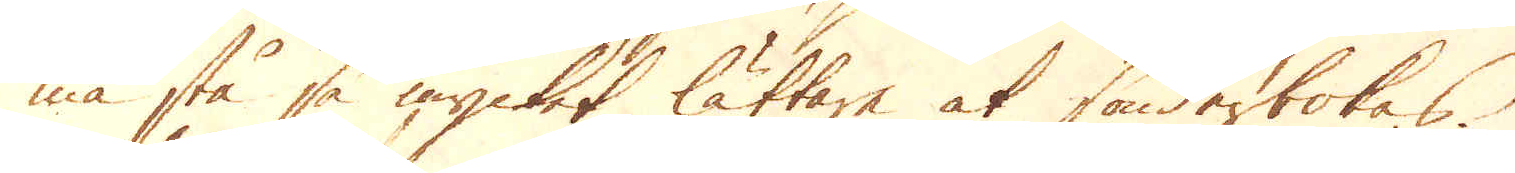må stå så mycket lättare at sönderbokas.
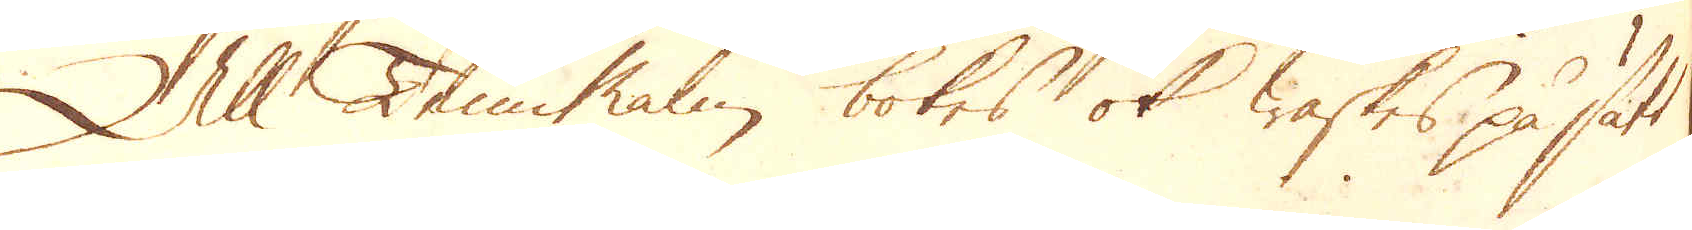All TenMalm, bokes ok waskes på sätt,
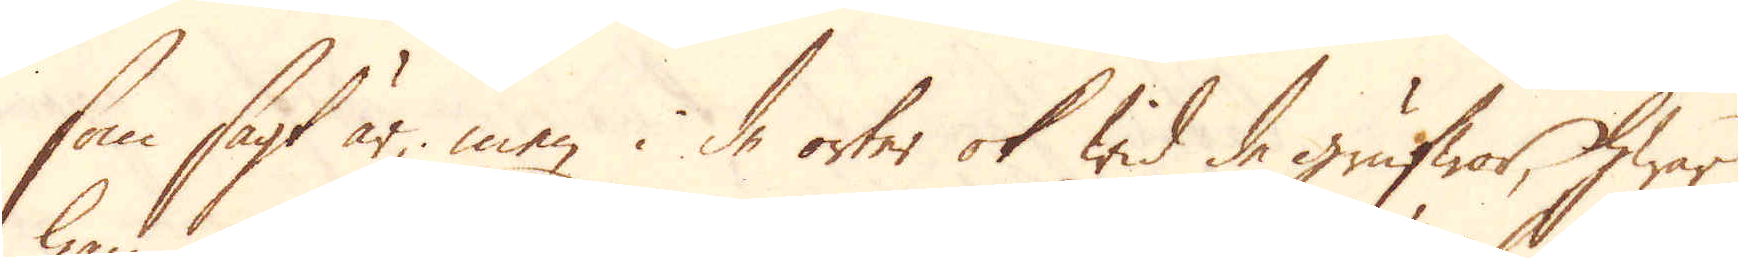som sagt är men i de orter ok wid de grufwor, hwar
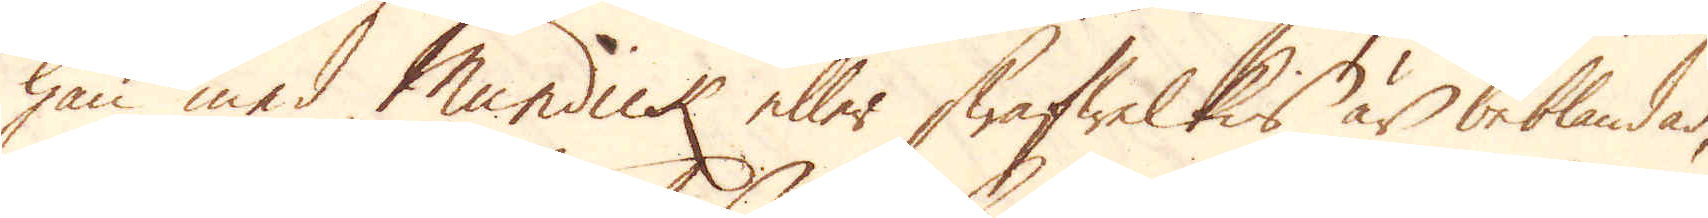han med Mundick eller swafwelkis är beblandad,
